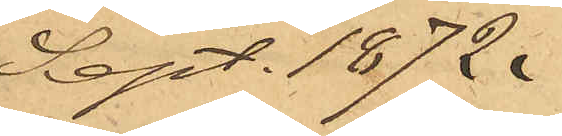Sept. 1872.
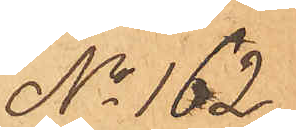No 162.
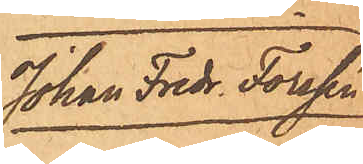Johan Fredr. Forssén
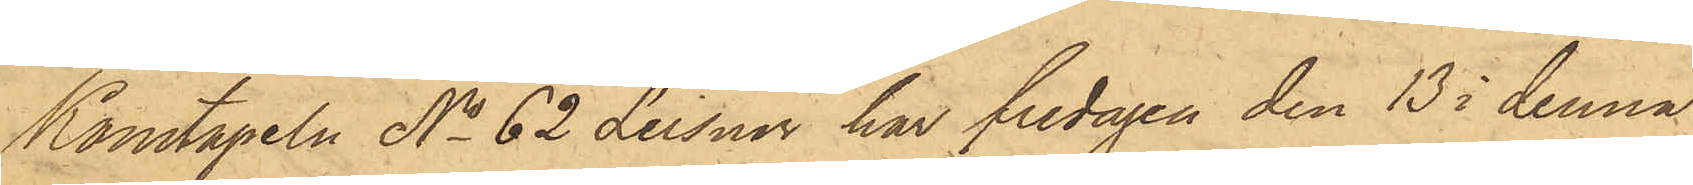Konstapeln No 62 Leisner har fredagen den 13 i denna
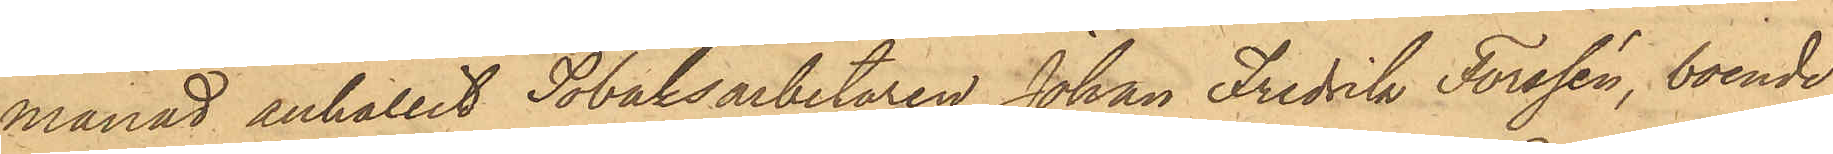månad anhållit Tobaksarbetaren Johan Fredrik Forssén, boende
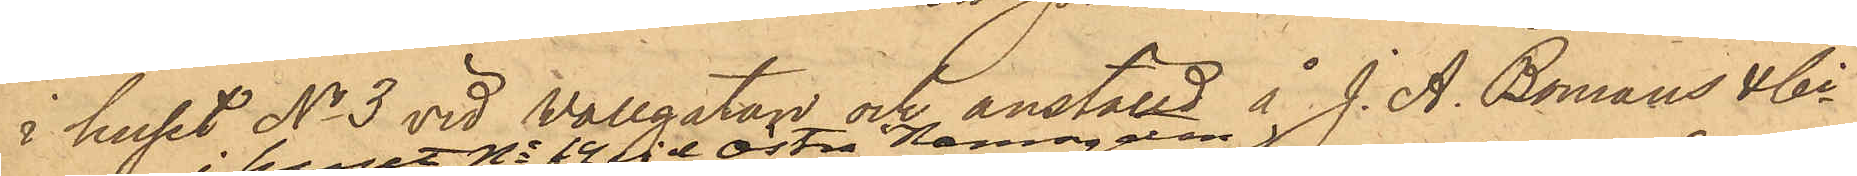i huset No 3 vid Vallgatan och anställd å J. A. Bomans & Ci
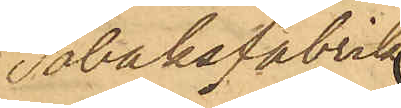Tobaksfabrik
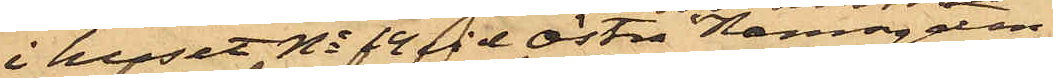i huset No 14 vid Östra Hamngatan
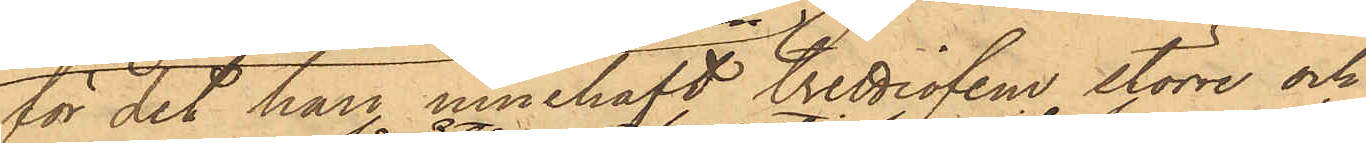för det han innehaft trettiofem större och
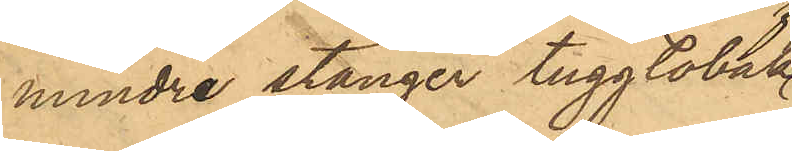mindre stänger tuggtobak
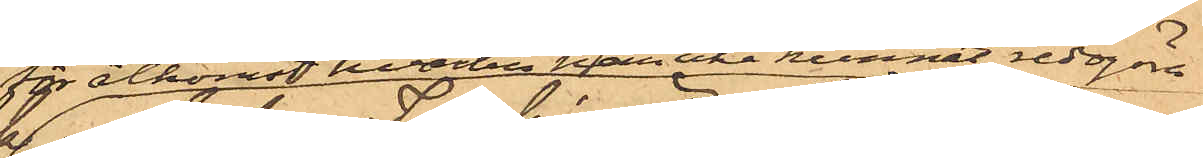för åtkomst hvartill han icke kunnat redgöra;
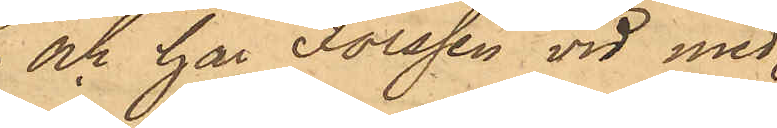och har Forssén vid med
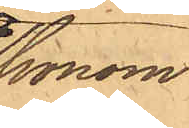honom
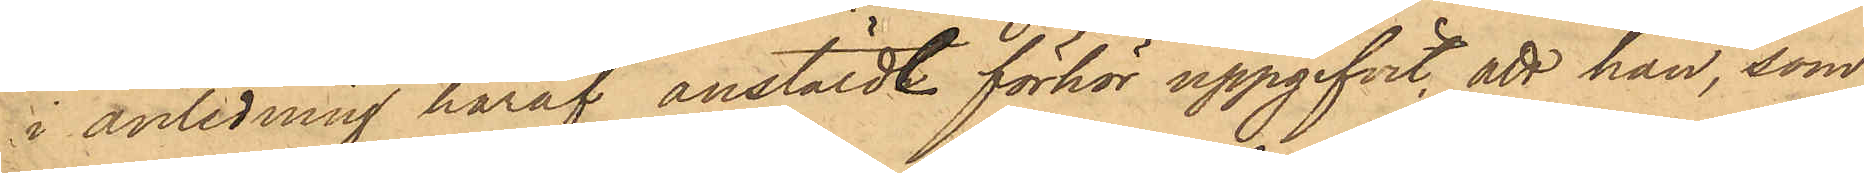i anledning häraf anstäldt förhör uppgifvit, att han, som
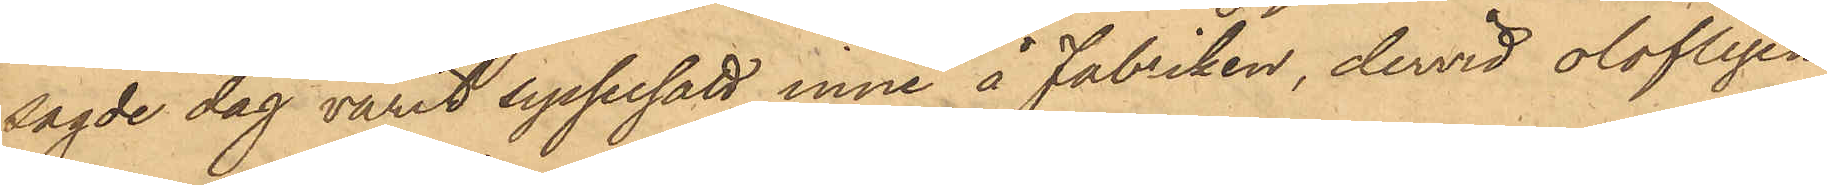sagde dag varit sysselsatt inne å Fabriken, dervid olofligen
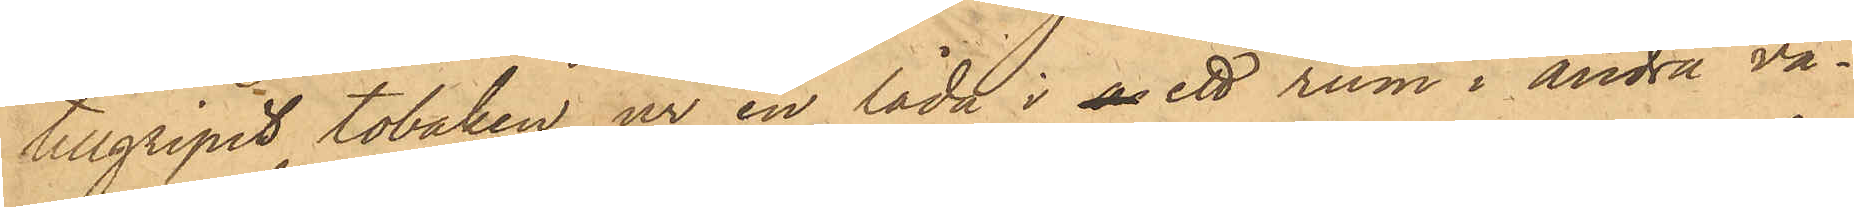tillgripit tobaken ur en låda i a ett rum i andra vå¬
